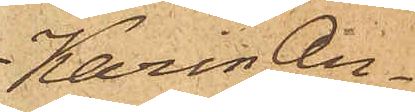Karin An¬
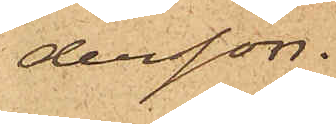dersson.
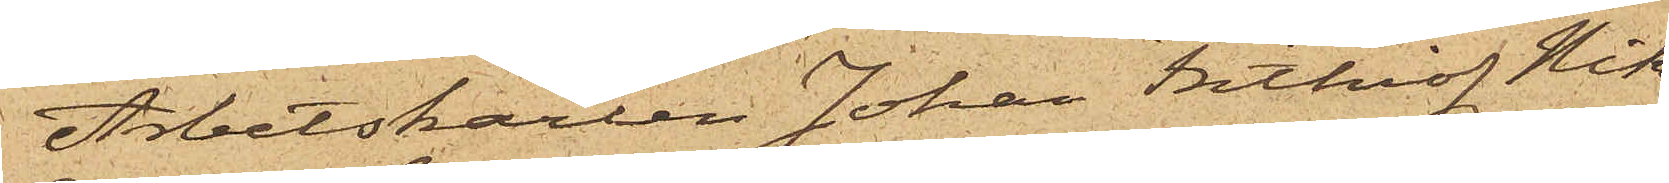Arbetskarlen Johan Frithiof Nik¬
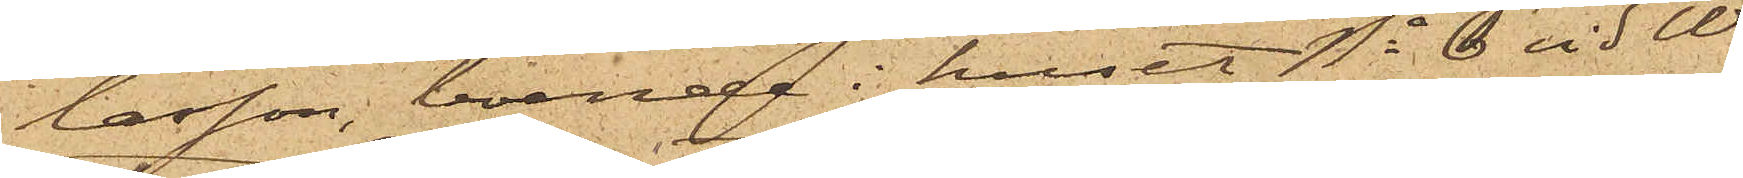lasson, boende i huset No 6 vid We¬
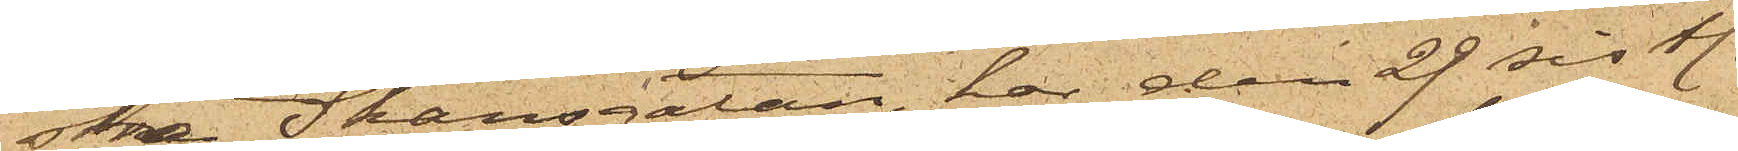stra Skansgatan, har den 29 sistl.
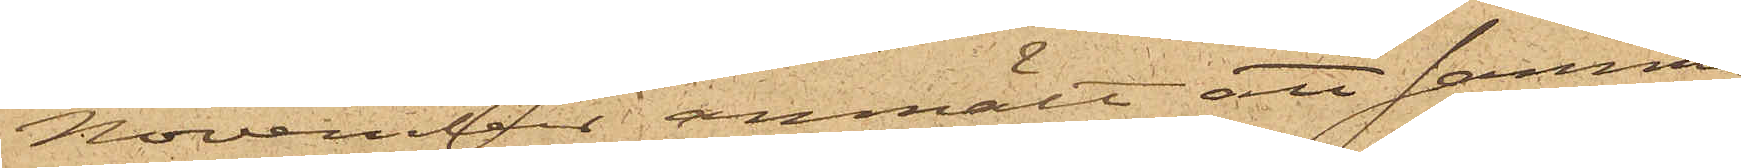November anmält att samma
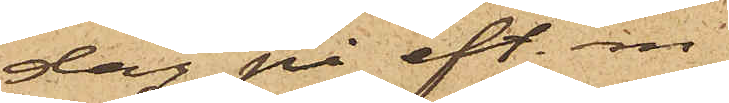dag på eft. m.
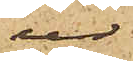ur
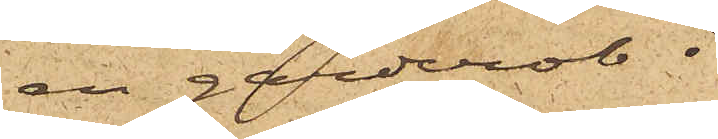en garderob i
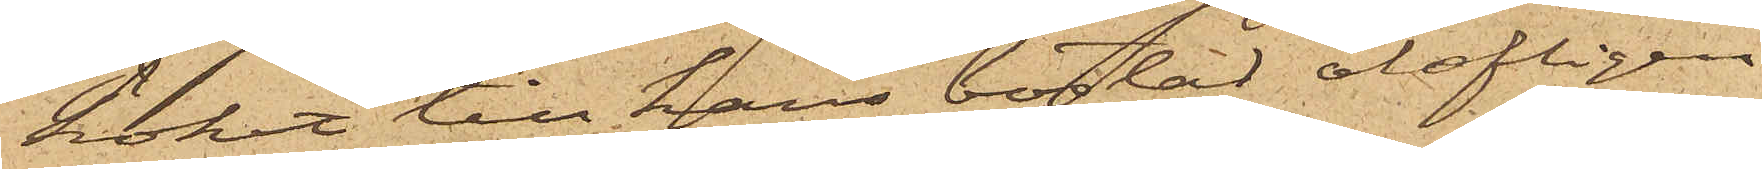köket till hans bostad olofligen
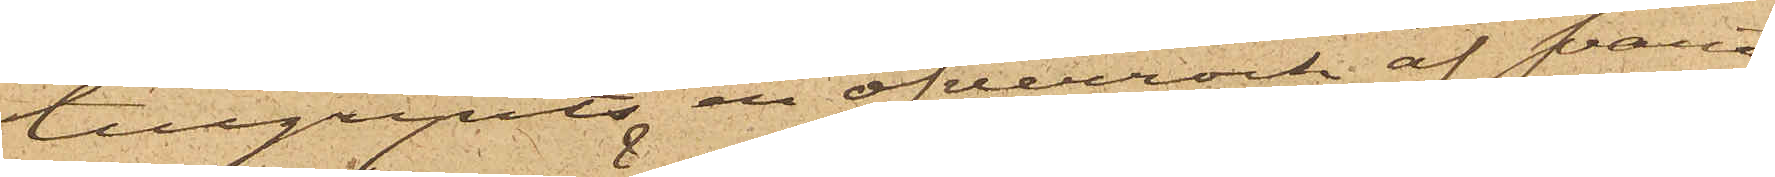tillgripits en öfverrock af svart
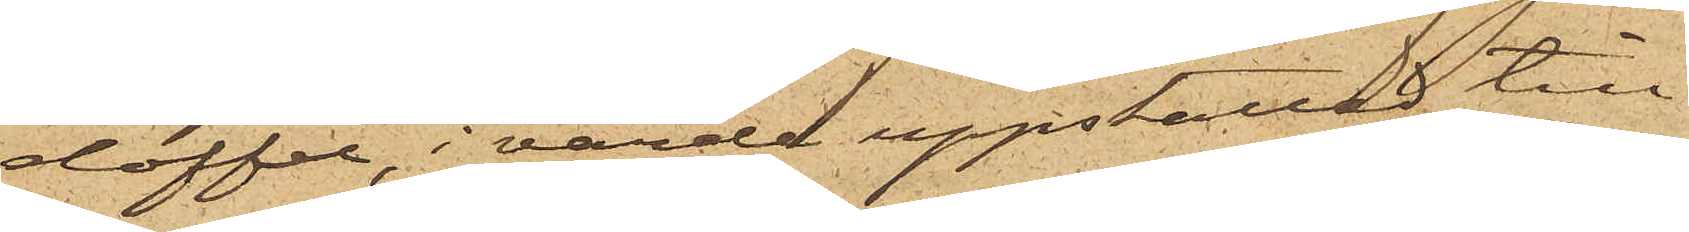doffel, i värde uppskattad till
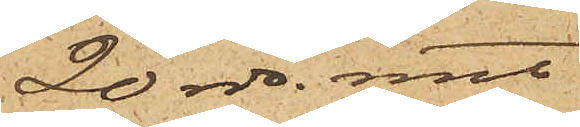20 rdr. rmt.
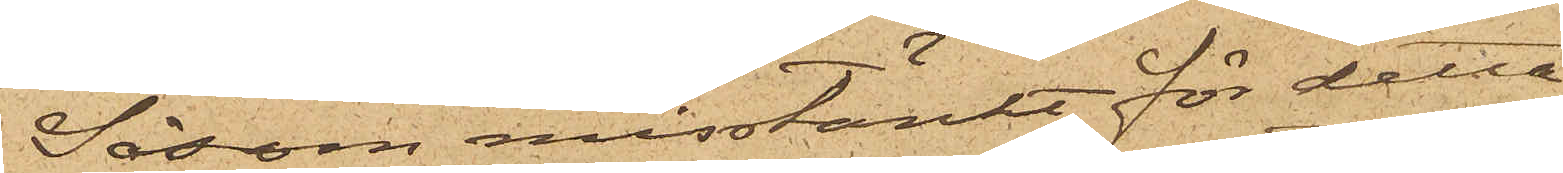Såsom misstänkt för detta
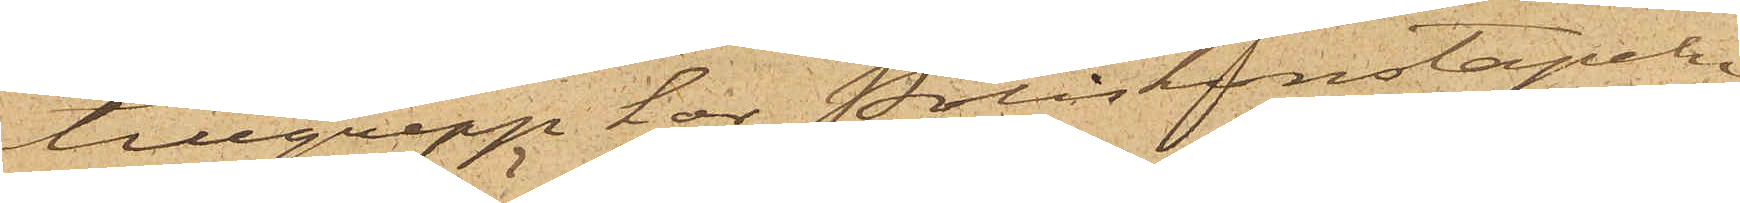tillgrepp har Poliskonstapeln
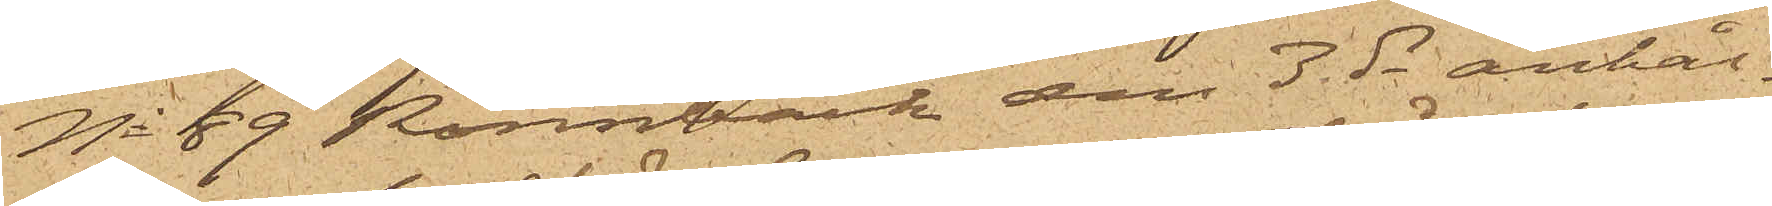No 59 Rönnbäck den 3 ds anhål¬
